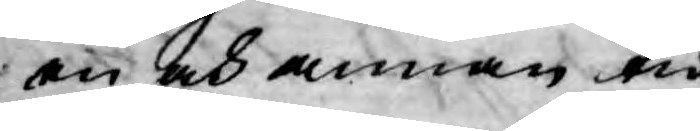en och annan tid
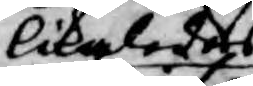likaledes
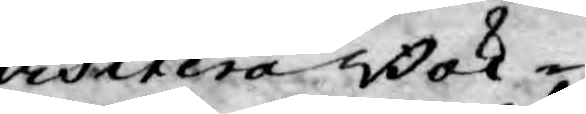visitera Bok¬
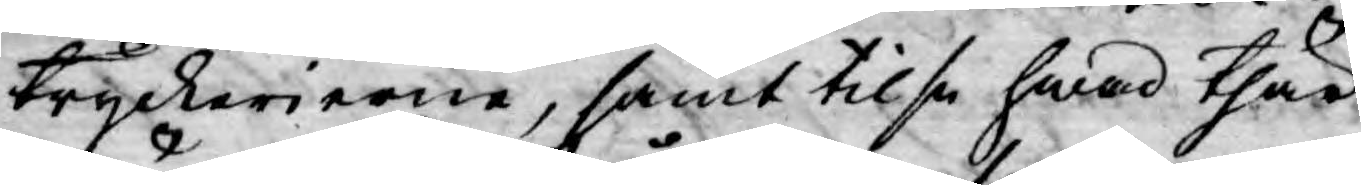tryckerierne, samt tilse hwad thär
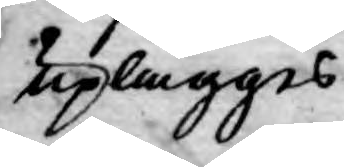uplägges
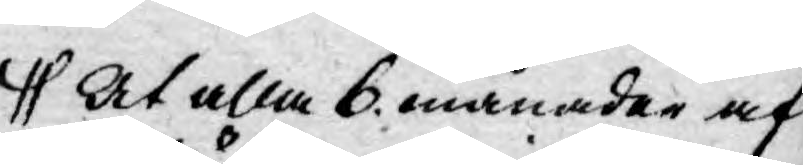At alla 6 månader af
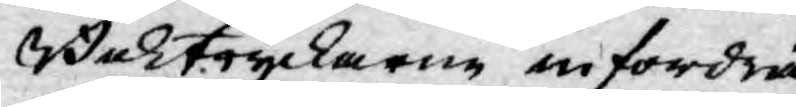Boktryckaren infordra
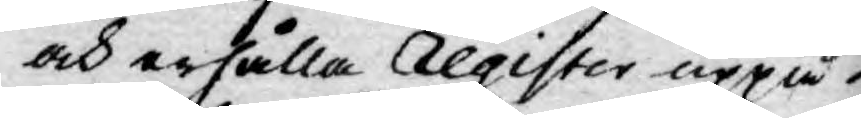och erhålla Register uppå
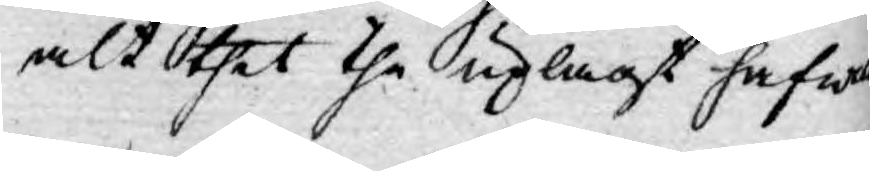alt thet the uplagt hafwa
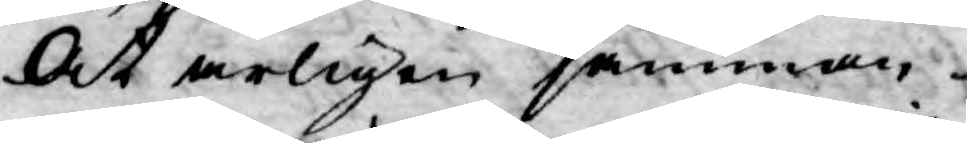At årligen samman¬
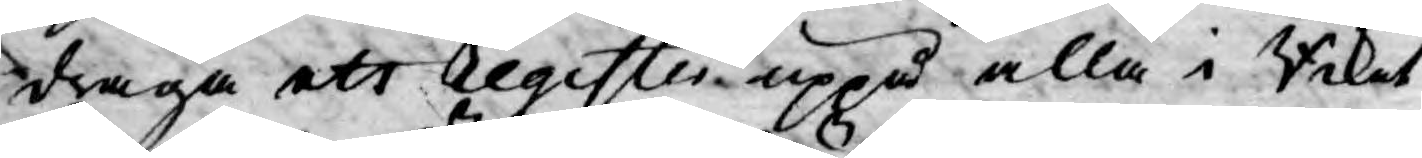draga ett register uppå alla i Riket
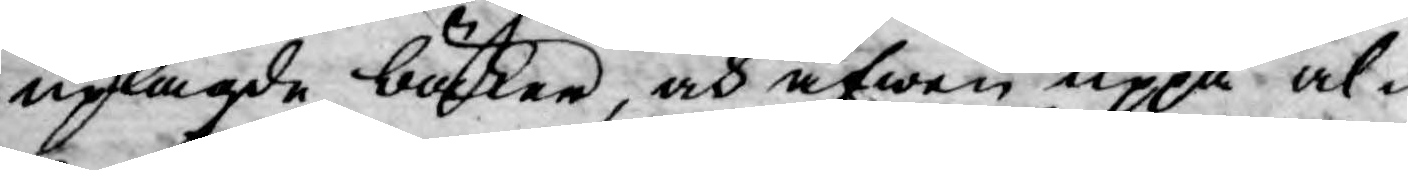uplagde böcker, och äfwen uppå al¬
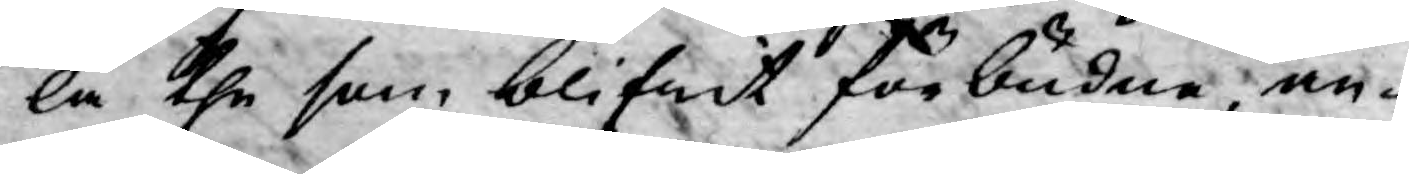la the som blifwit förbudne an¬
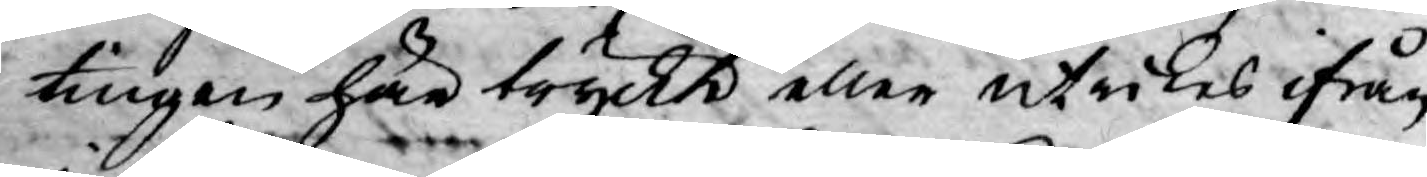tingen här tryckt eller utrikes ifrån
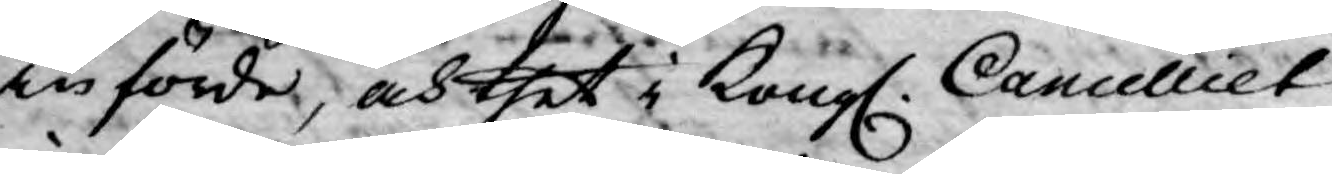införde, och thet i Kongl. Cancelliet
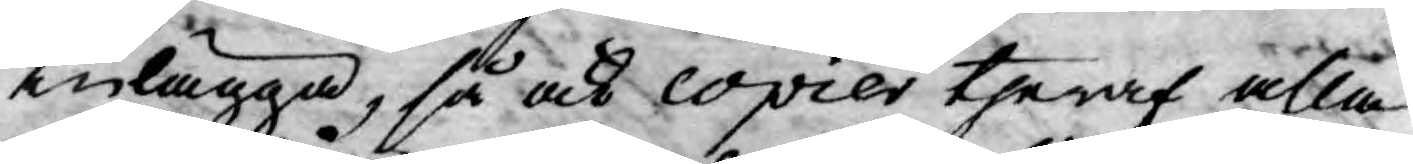inlägga, så och copier theraf alla
